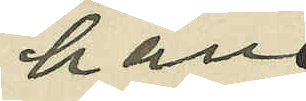han
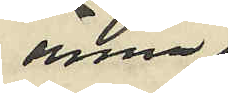ännu
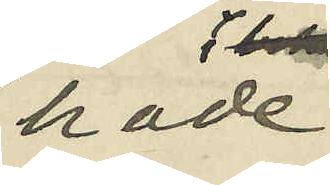hade
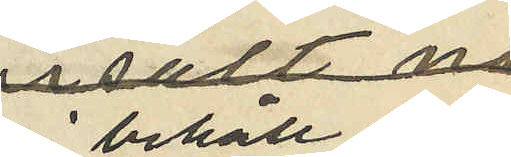i behåll de
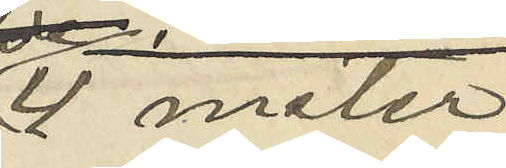4 meter
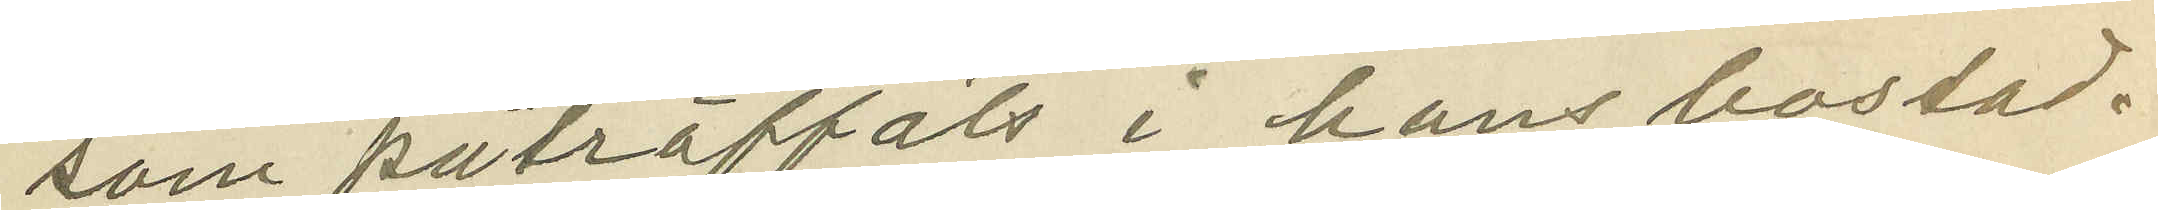som påträffats i hans bostad.
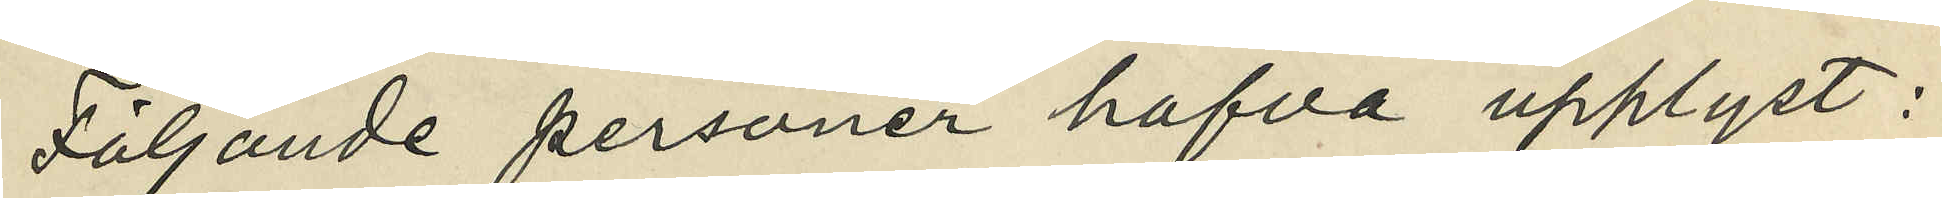Följande personer hafva upplyst:
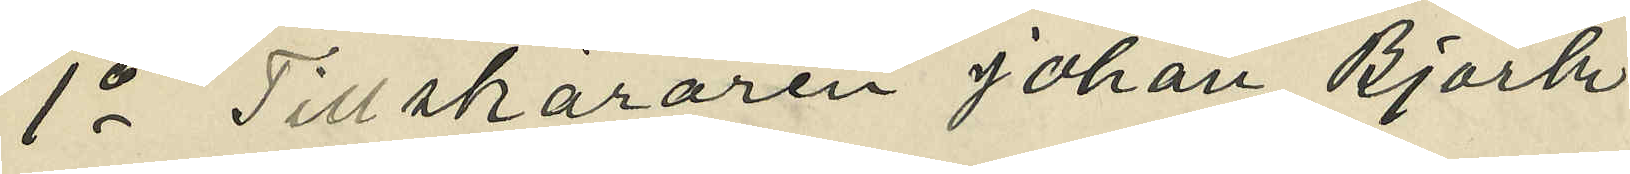1o Tillskäraren Johan Björk
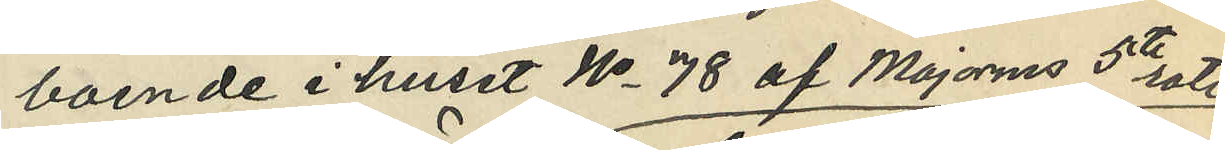boende i huset No 78 af Majornas 5te rote
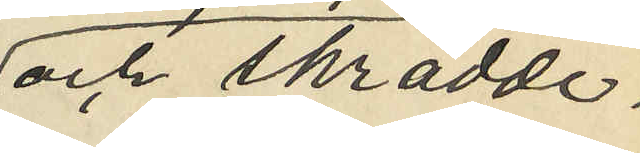och skrädde¬
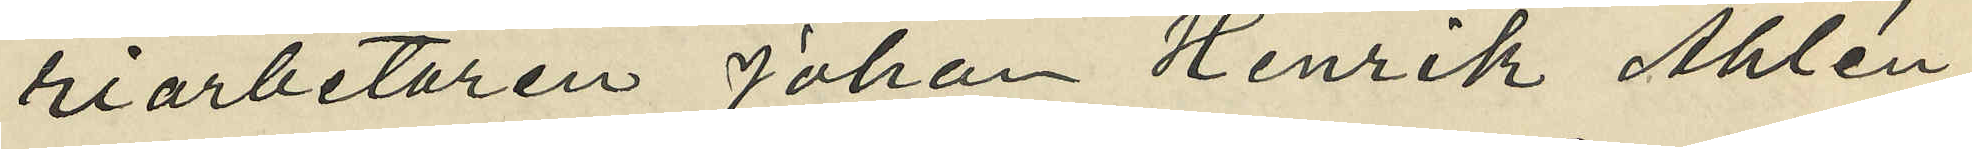riarbetaren Johan Henrik Åhlén,
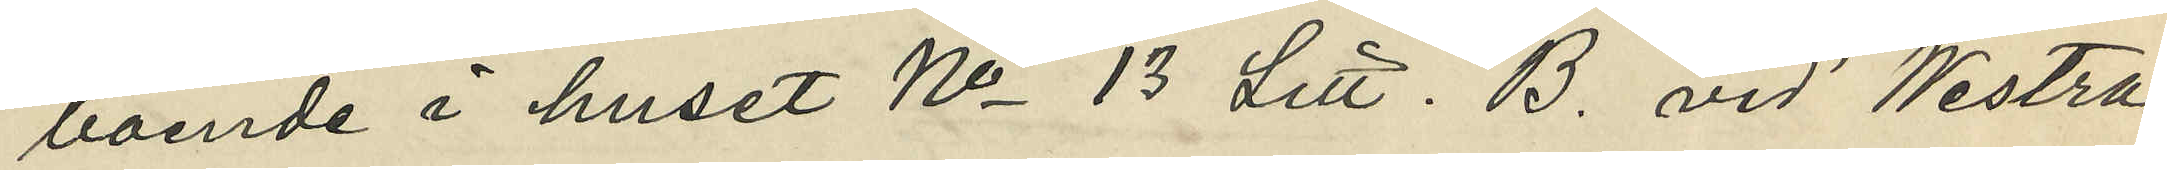boende i huset No 13 Litt. B. vid Westra
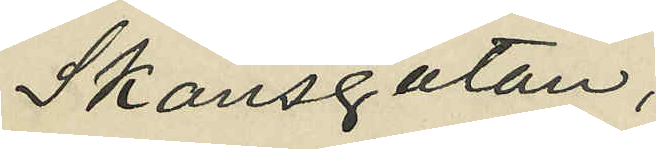Skansgatan,
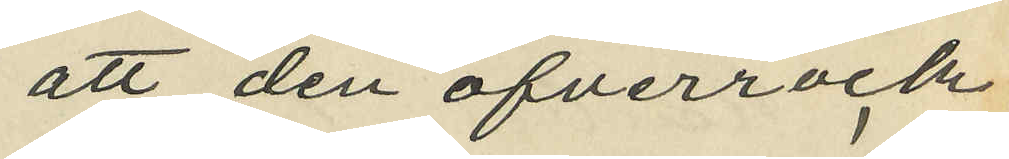att den öfverrock
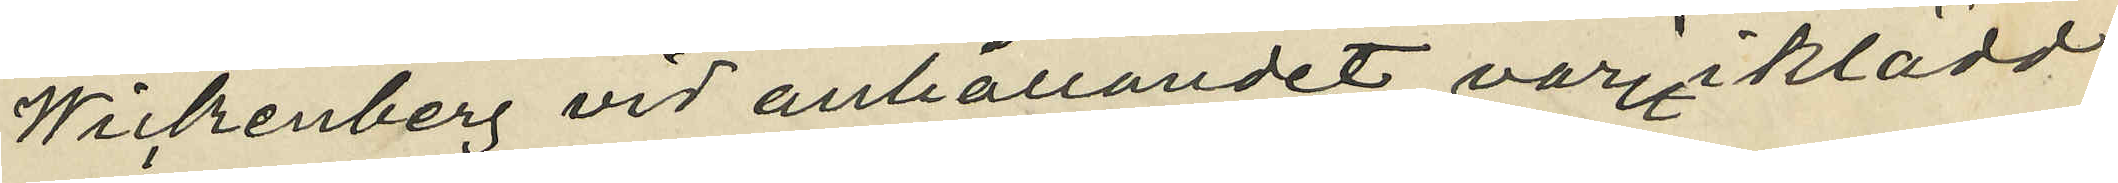Wickenberg vid anhållandet varit iklädd
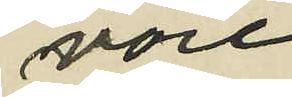vore
